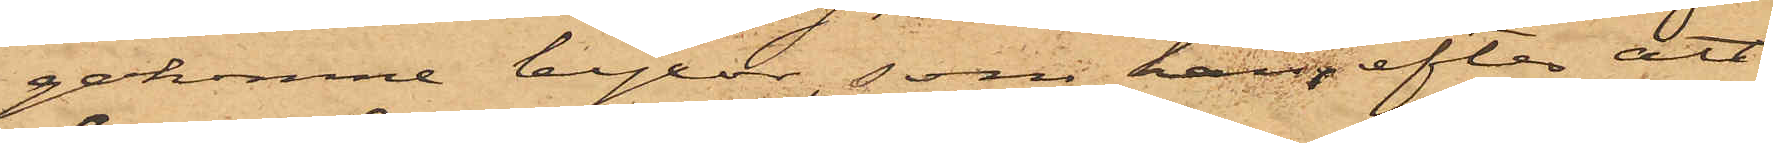gakomne byxor, som han, efter att
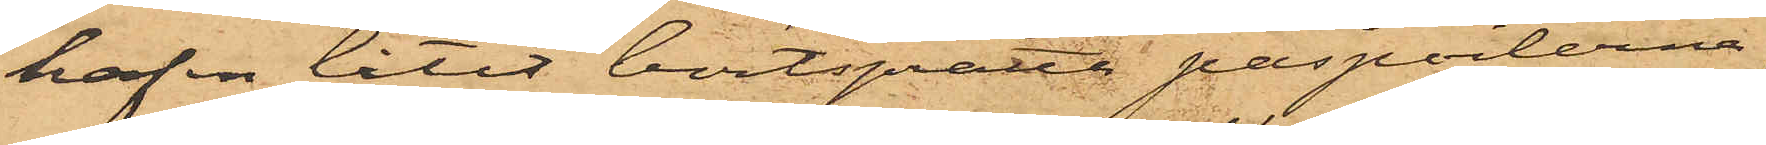hafva låtit bortsprätta paspoilerna,
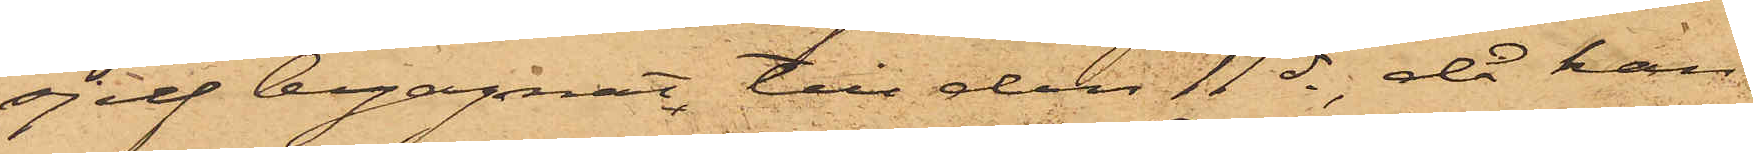sjelf begagnat till den 11 ds, då han
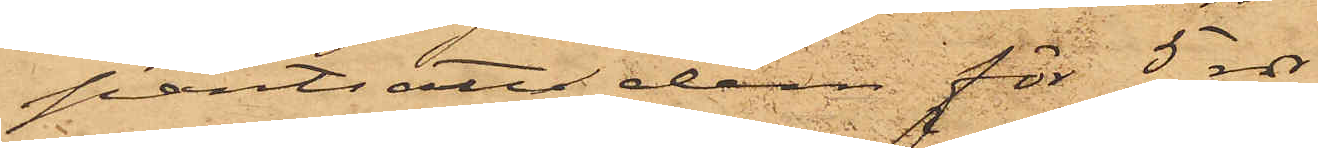pantsatte dem för 5 rdr
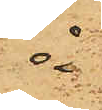å
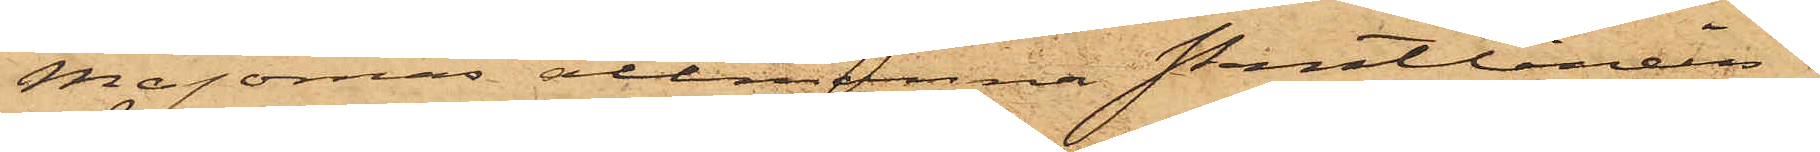Majornas allmänna Pantlånein¬
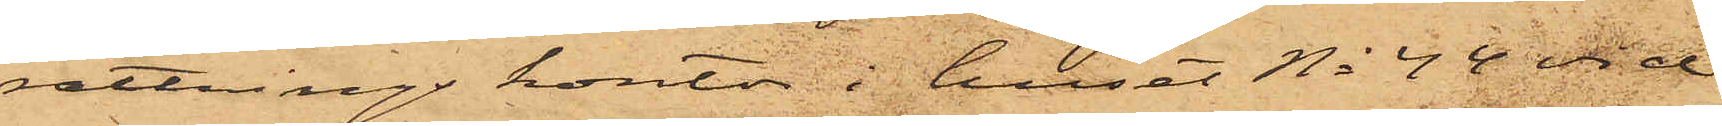rättnings kontor i huset No 44 vid
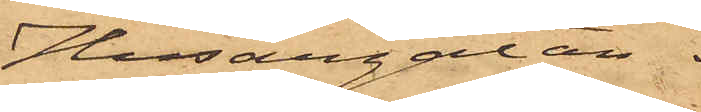Husargatan.
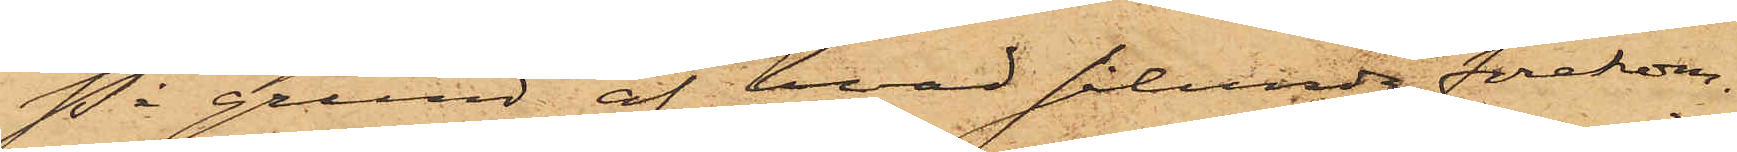På grund af hvad sålunda förekom¬
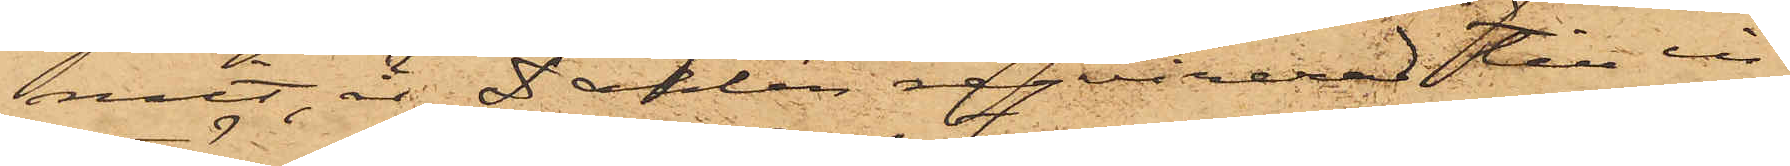mit, är Dahlén reqvirerad till in¬
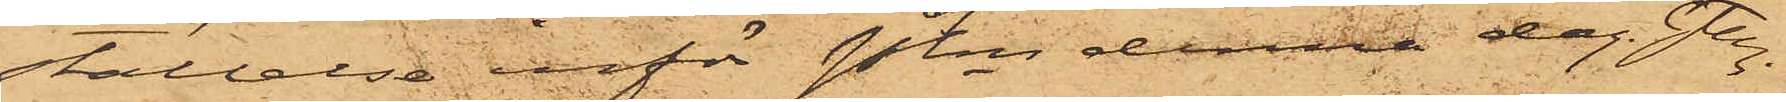ställelse inför Pkn denna dag. Gtbg
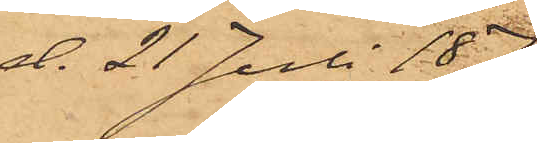d. 21 Juli 1874.
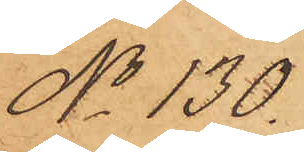No 130.
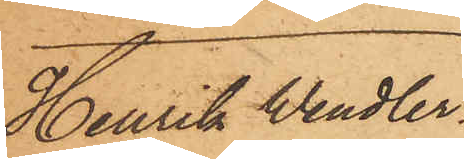Henrik Wendler
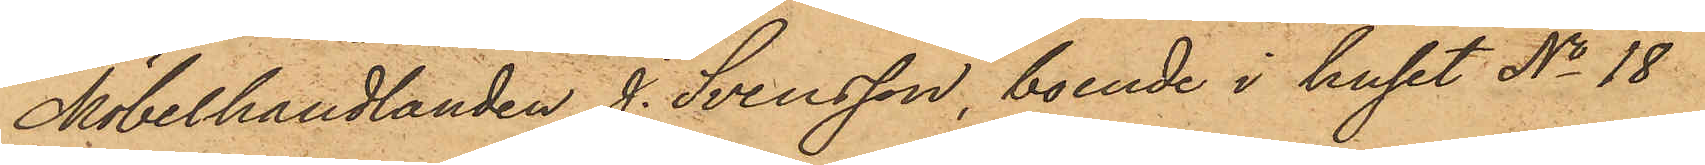Möbelhandlanden J. Svensson, boende i huset No 18
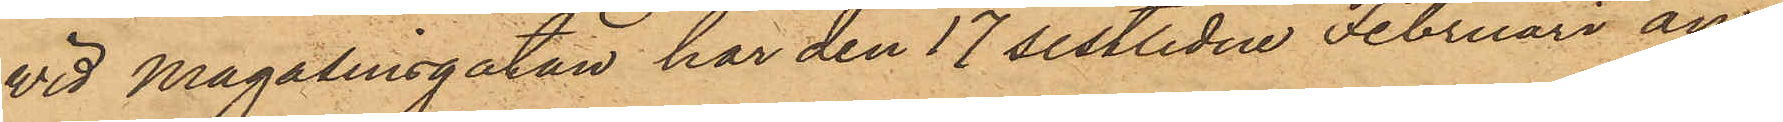vid Magasinsgatan har den 17 sistlidne Februari an¬
